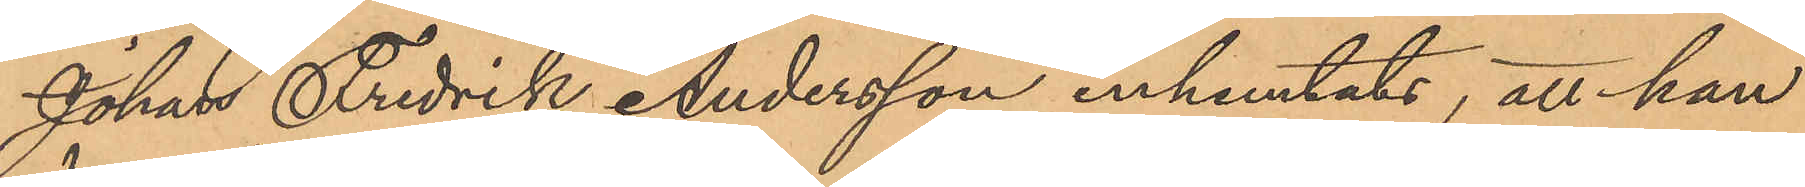Johan Fredrik Andersson inhemtats, att han
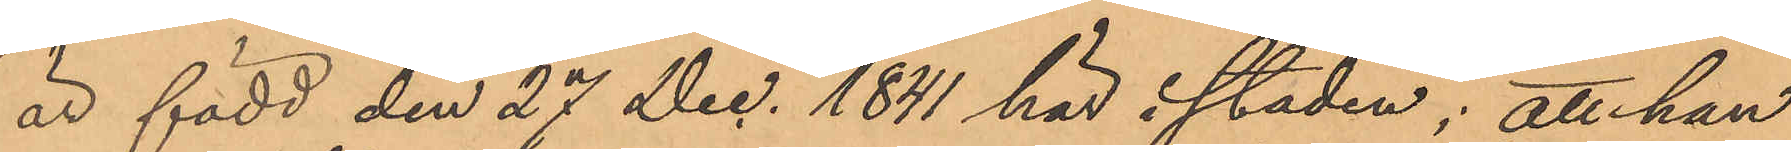är född den 27 Dec. 1841 här i staden; att han
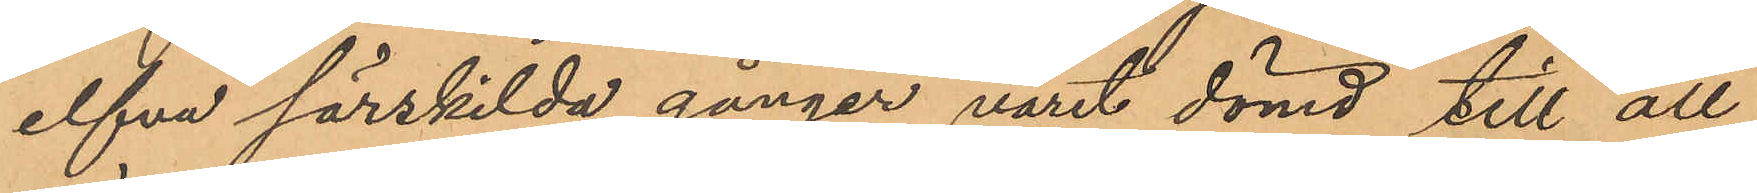elfva särskilda gånger varit dömd till all¬
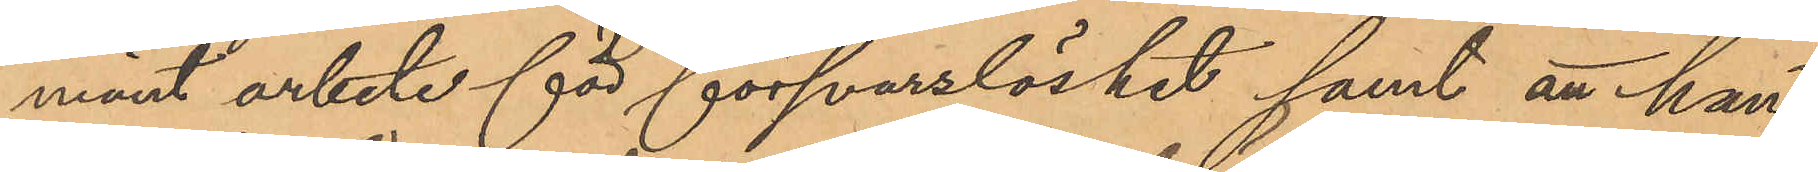mänt arbete för försvarslöshet samt att han
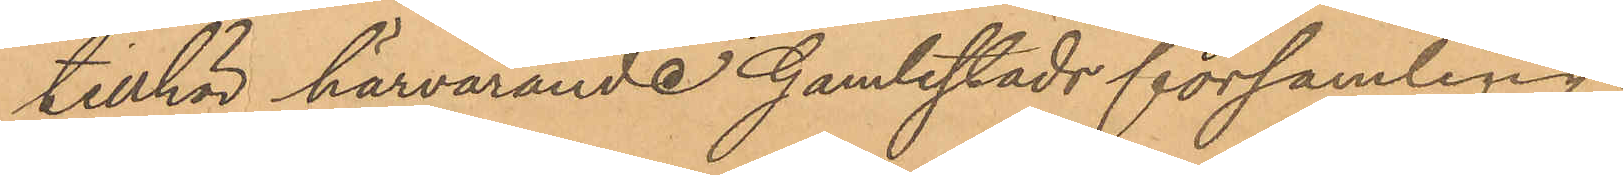tillhör härvarande Gamlestads församling.
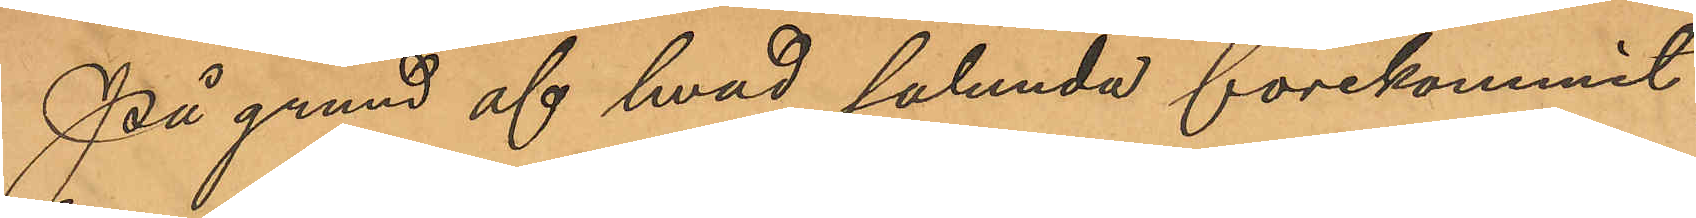På grund af hvad sålunda förekommit
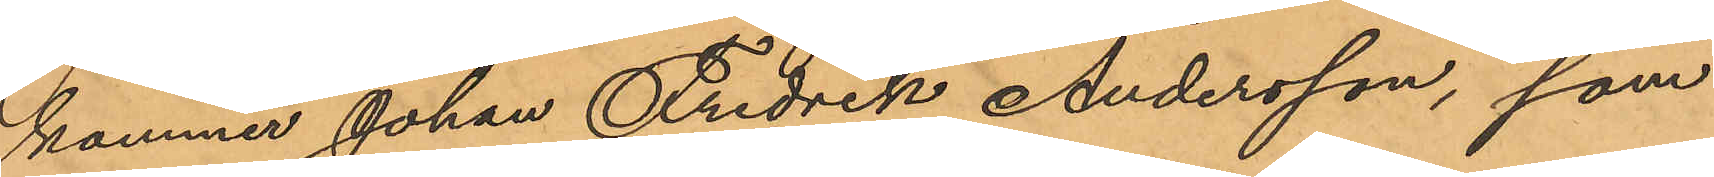kommer Johan Fredrik Andersson, som
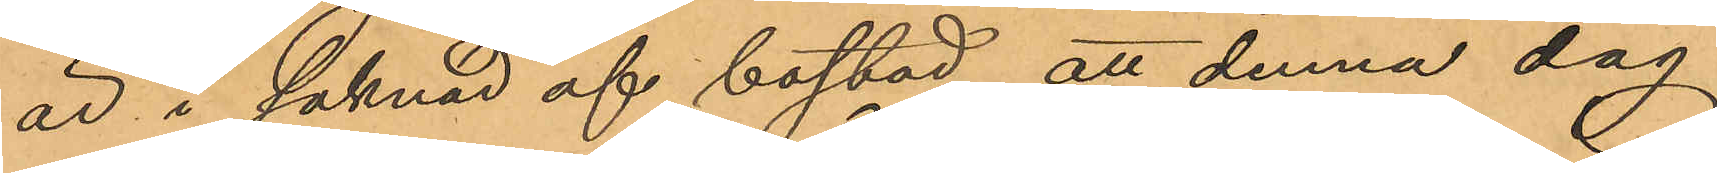är i saknad af bostad, att denna dag
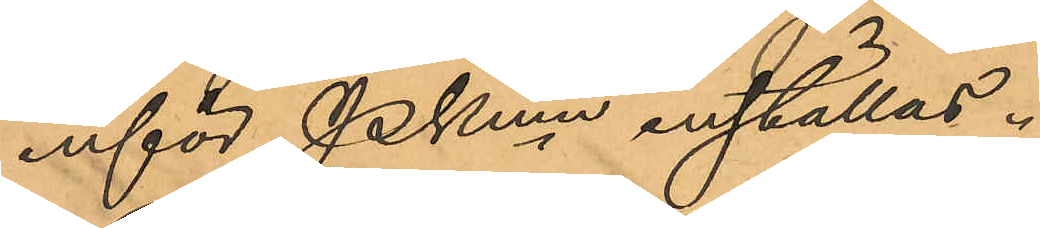inför Pkmn inställas.
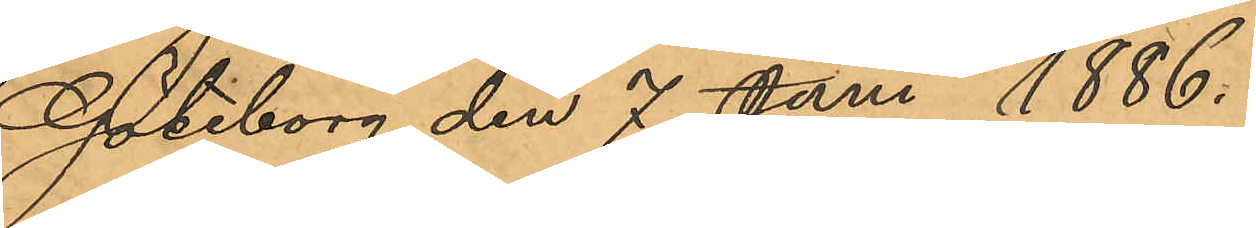Göteborg den 7 Juni 1886.
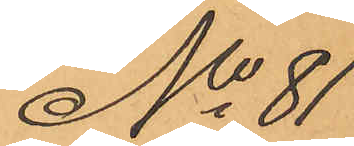No 81
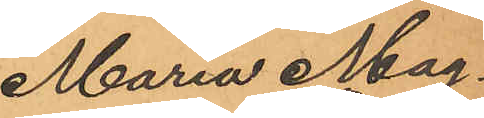Maria Mag¬
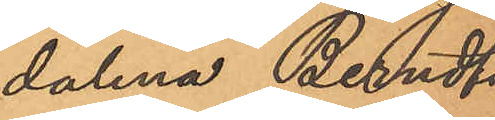dalena Bendts¬
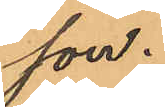son.
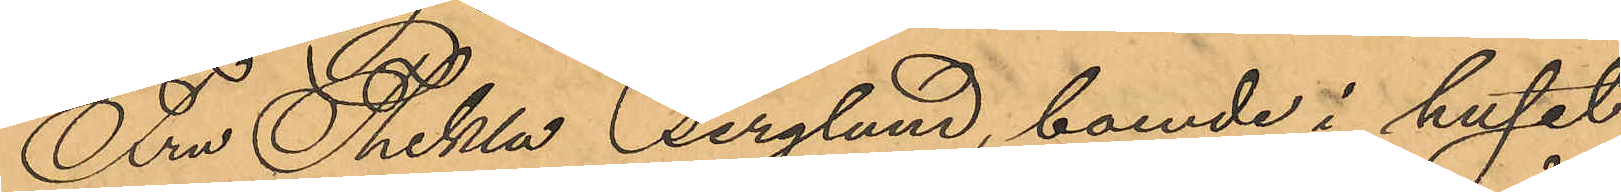Fru Thekla Berglund, boende i huset
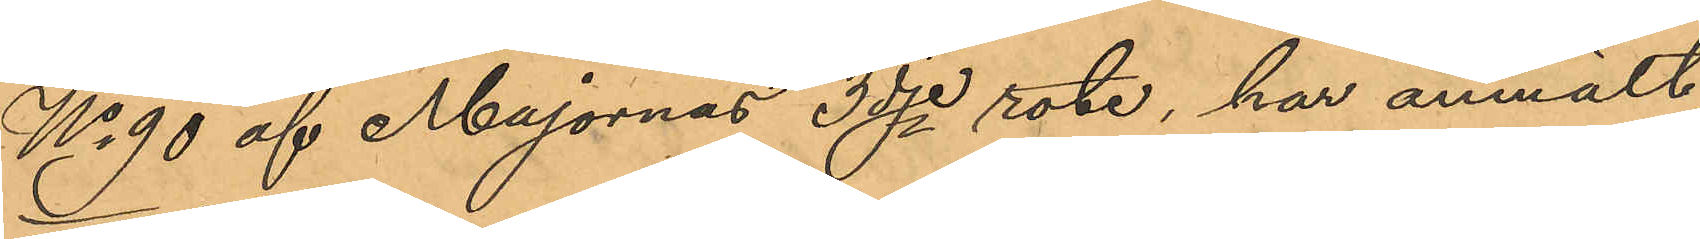No 90 af Majornas 3dje rote, har anmält,
